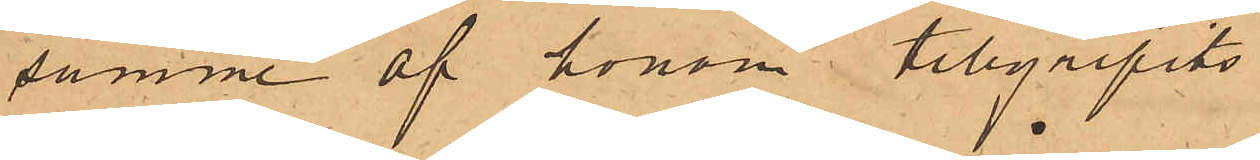samme af honom tillgripits.
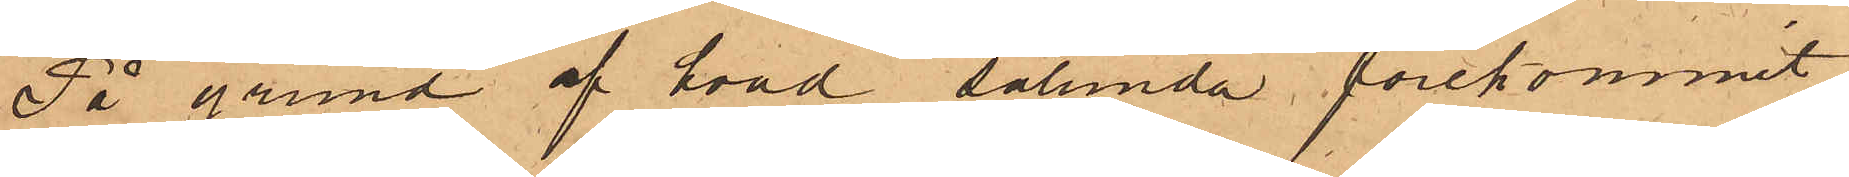På grund af hvad sålunda förekommit,
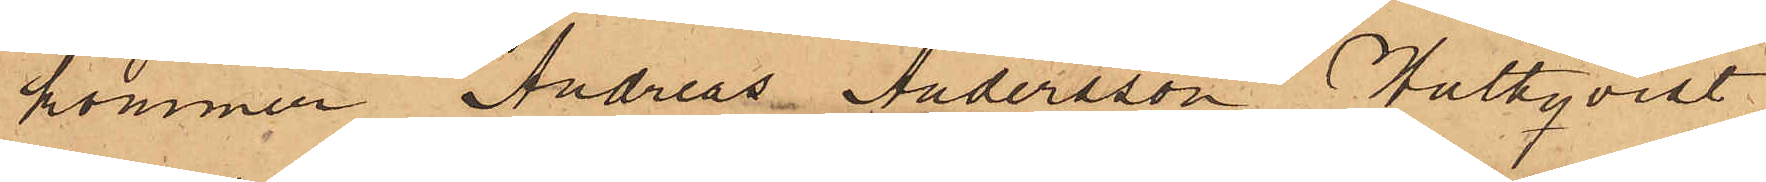kommer Andreas Andersson Hultqvist
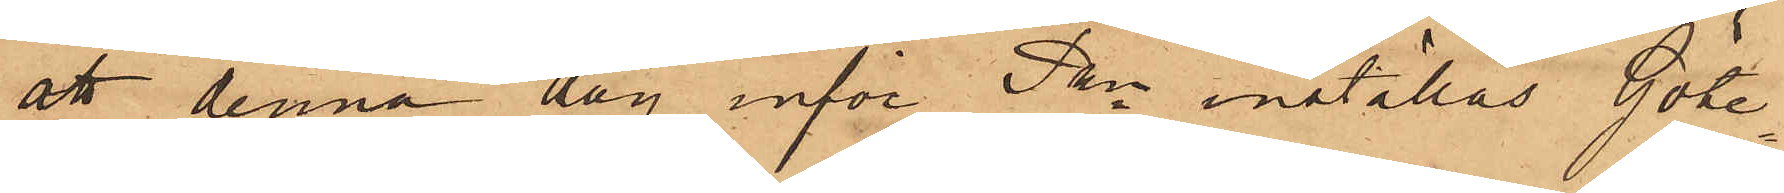att denna dag inför Pkn inställas. Göte¬
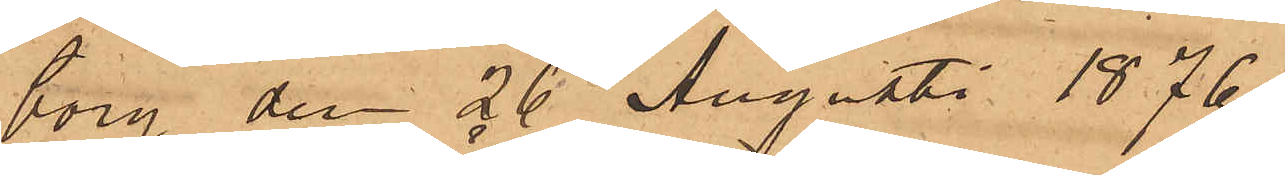borg den 26 Augusti 1876.
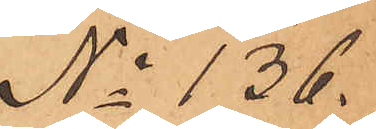No 136.
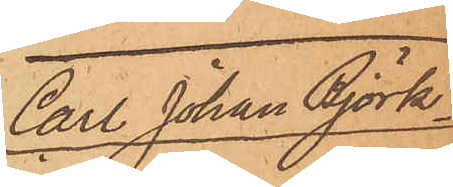Carl Johan Björk¬
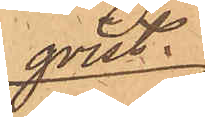qvist
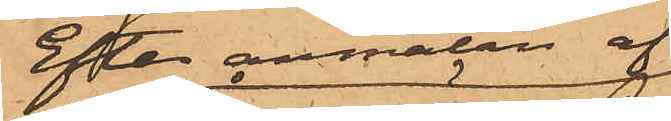Efter anmälan af
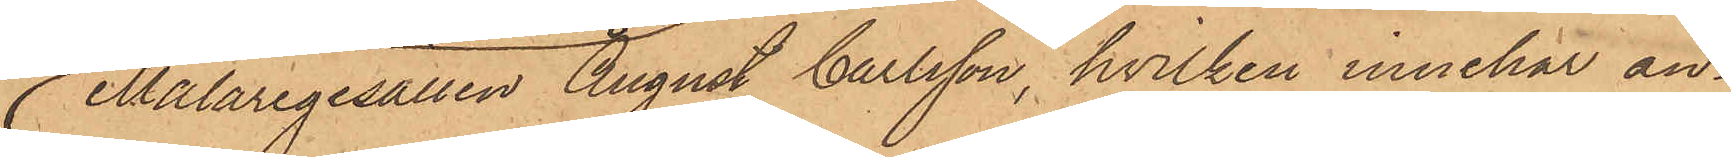Målaregesällen August Carlsson, hvilken innehar an¬
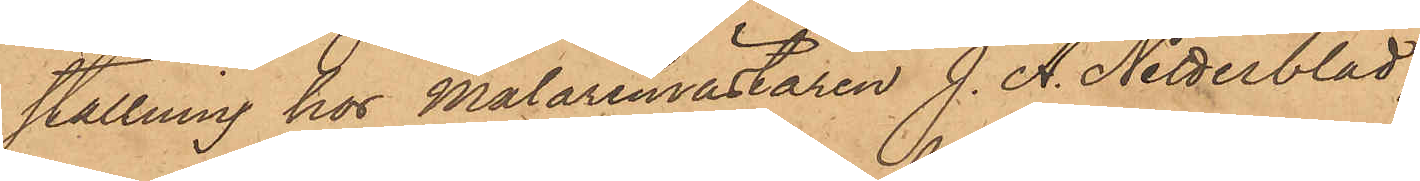ställning hos Målaremästaren J. A. Netterblad,
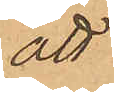att
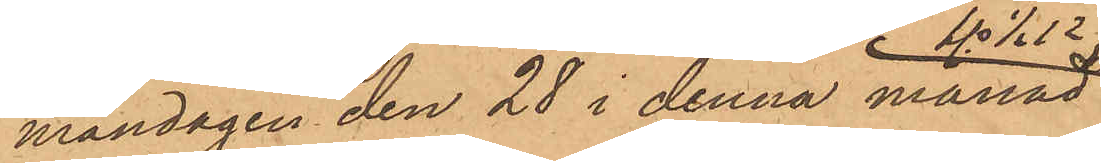måndagen den 28 i denna månad
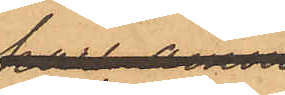kl ½12 f.m.
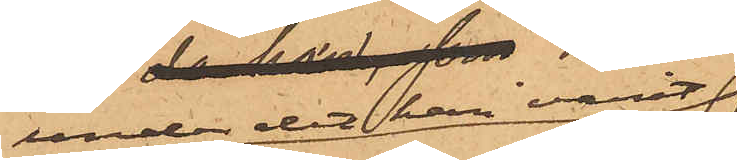under det han varit
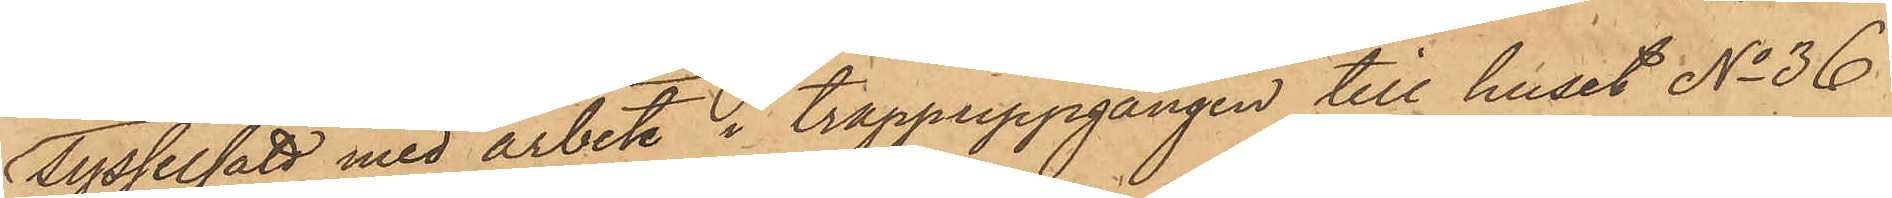sysselsatt med arbete i trappuppgången till huset No 36
